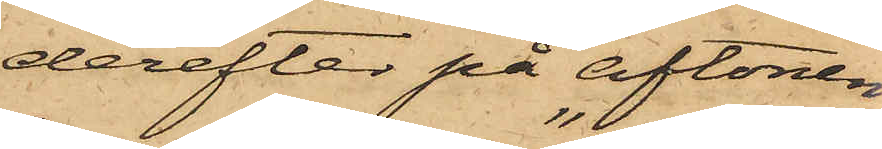derefter på aftonen
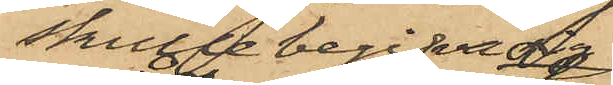skulle begifva sig
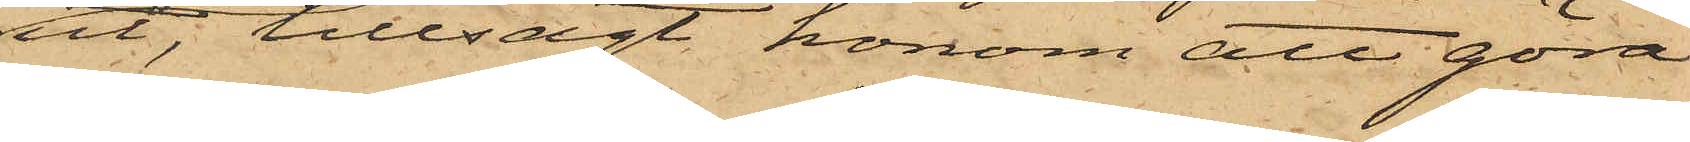ut; tillsagt honom att "göra
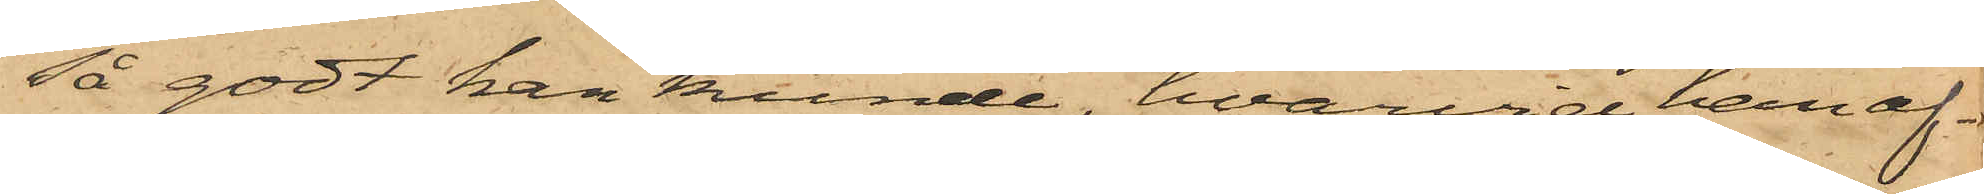så godt han kunde", hvarvid han af¬
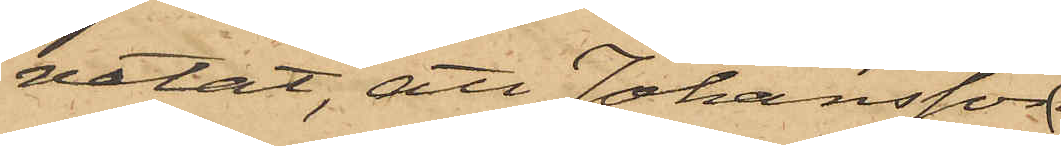vetat, att Johansson
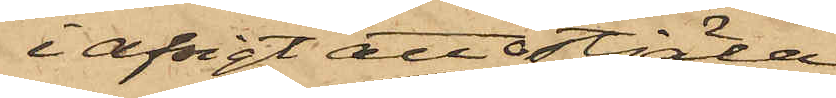i afsigt att stjäla
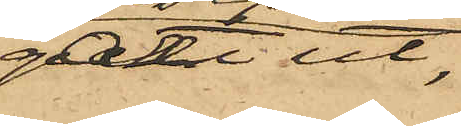gått ut,
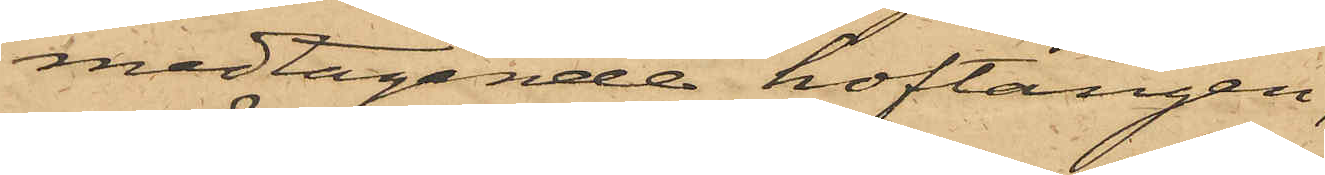medtagande hoftången,
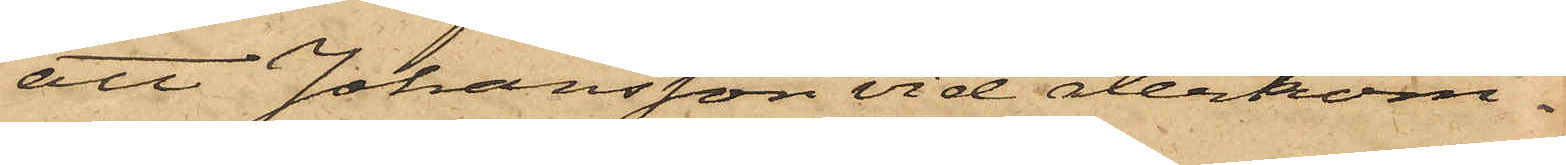att Johansson vid återkom¬
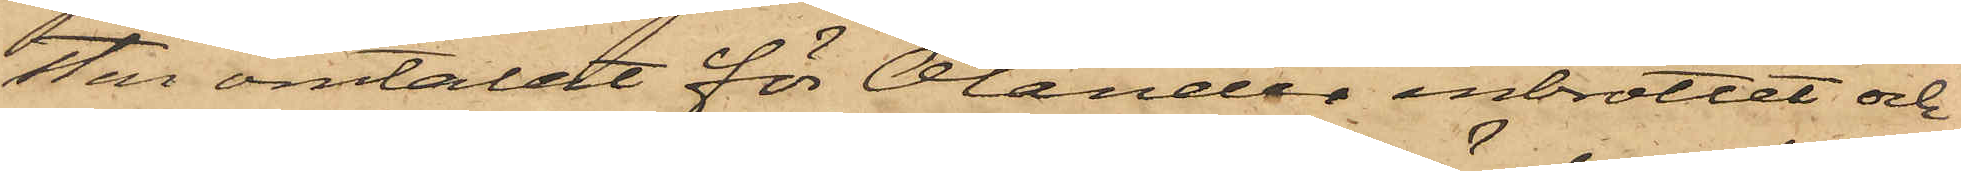sten omtalat för Olander inbrottet och
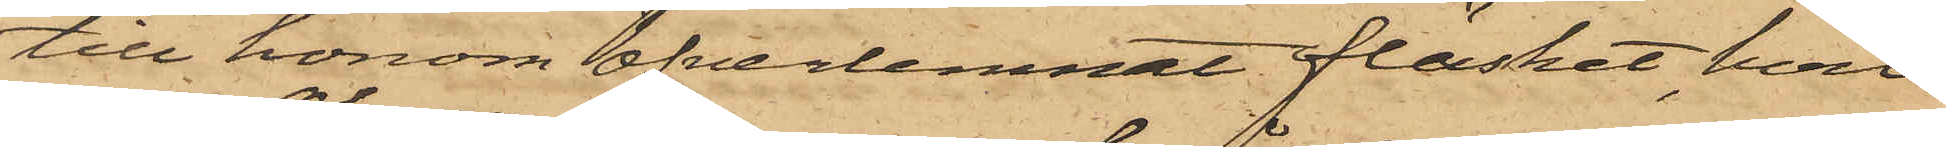till honom öfverlemnat fläsket, hvil¬
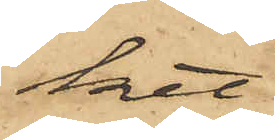ket
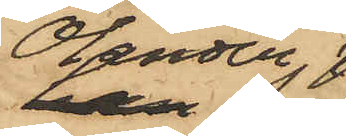Olander
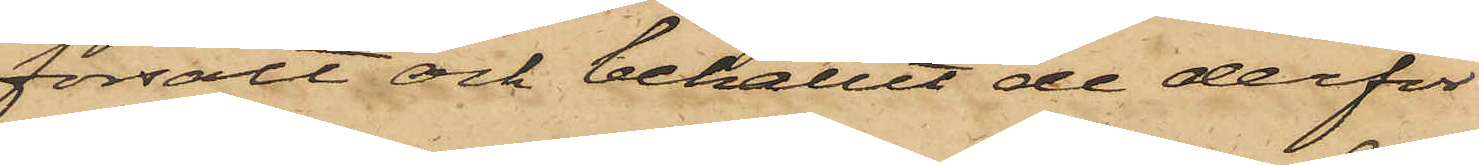försålt och behållit de derför
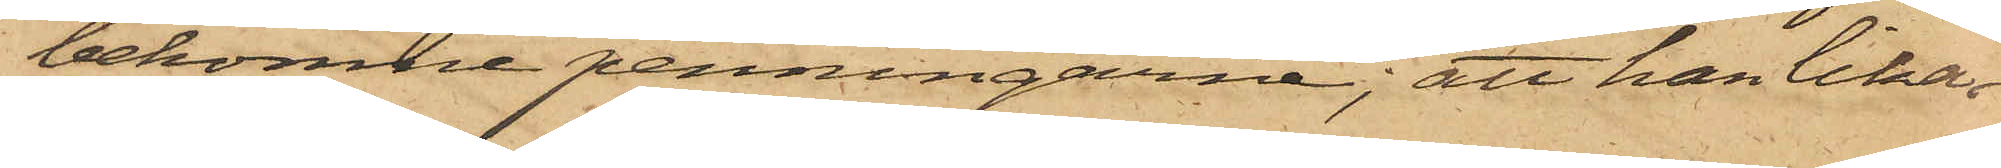bekomne penningarne; att han lika¬
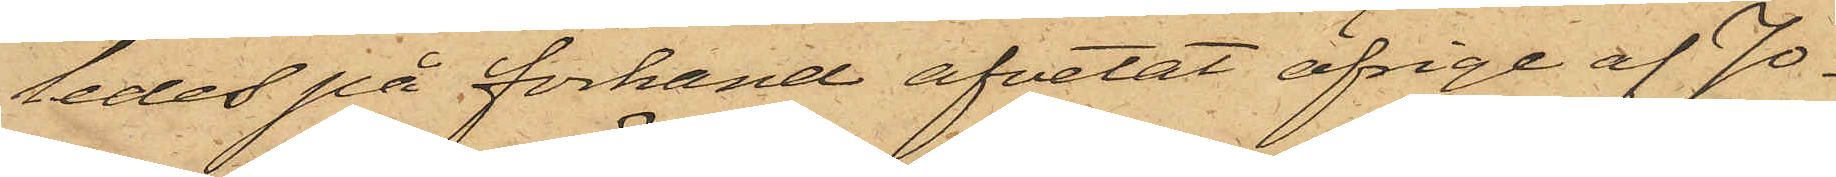ledes på förhand afvetat öfrige af Jo¬
